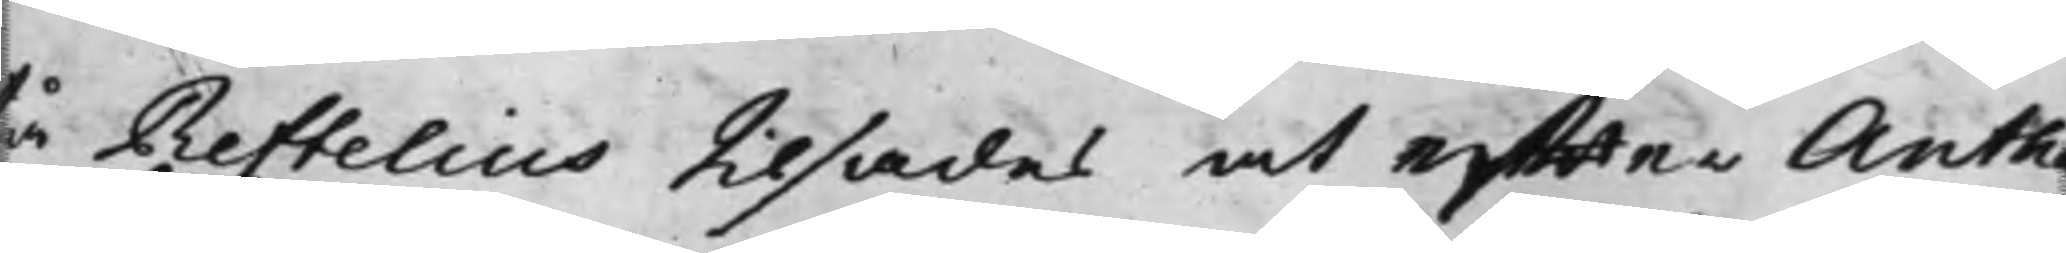tå Reftelius tilsades at effter Anthe¬
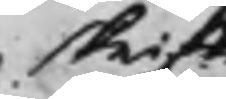skrifte.
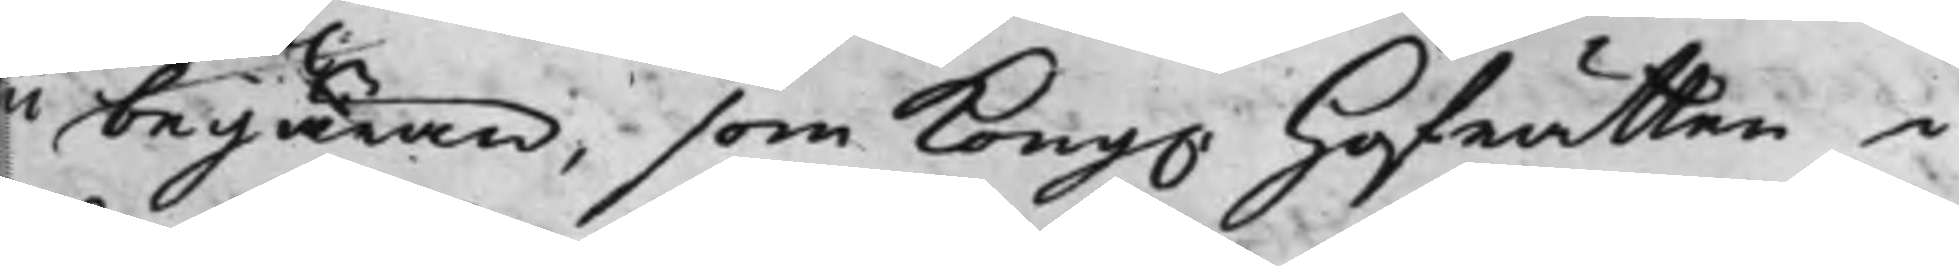lii begäran, som Kong. Hofrätten i
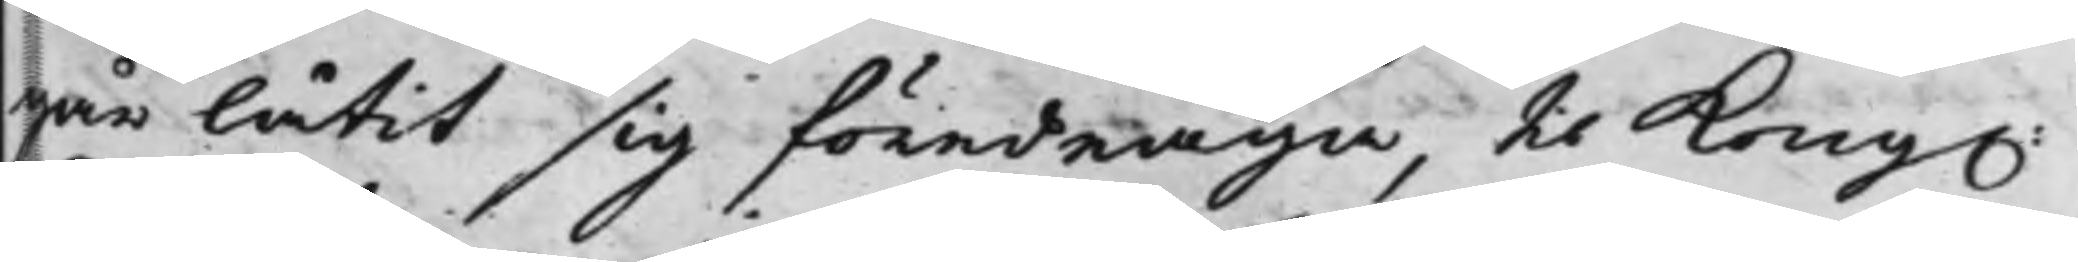går låtit sig föredraga, til Kong.
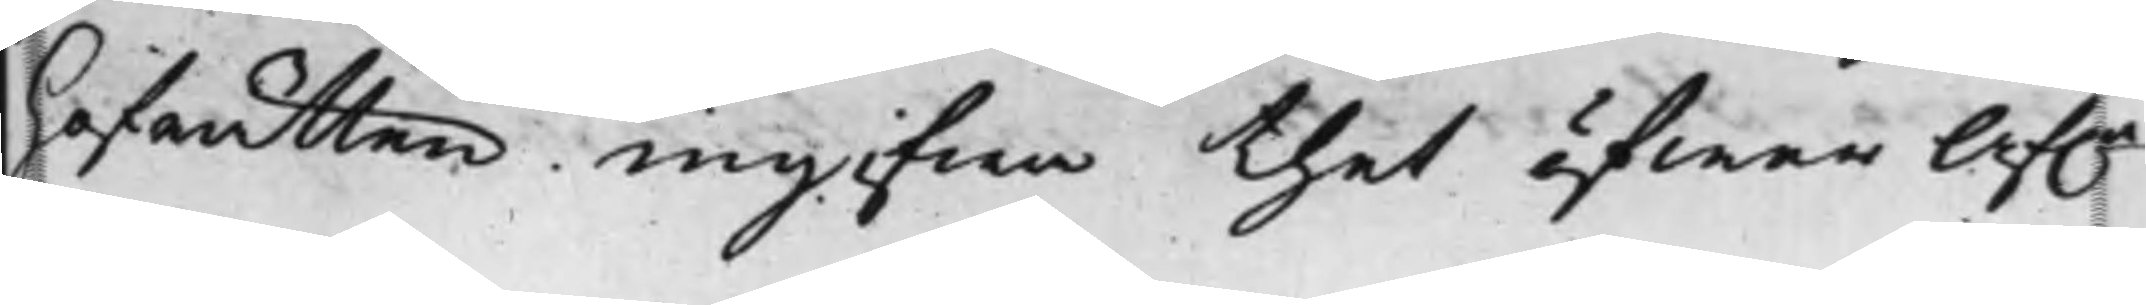Hofrätten ingifwa thet öfwer Af.e
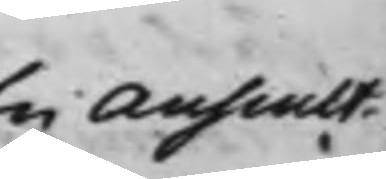En Auscult.
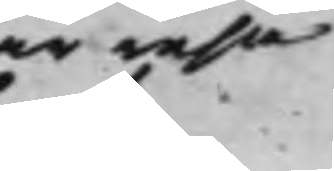får resa
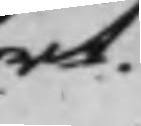bort.
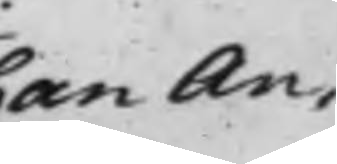Johan An¬
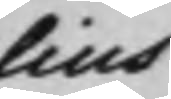thelius
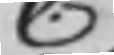C.
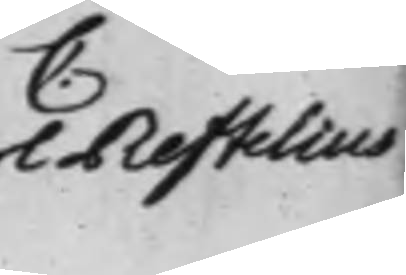Carl Reftelius
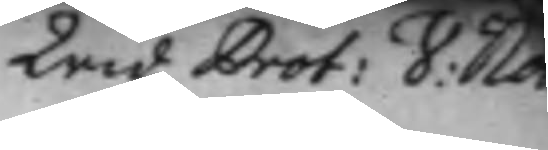Wid, Prot: V: Not
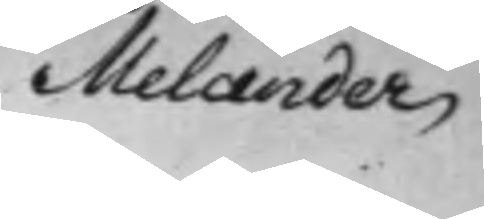Melander
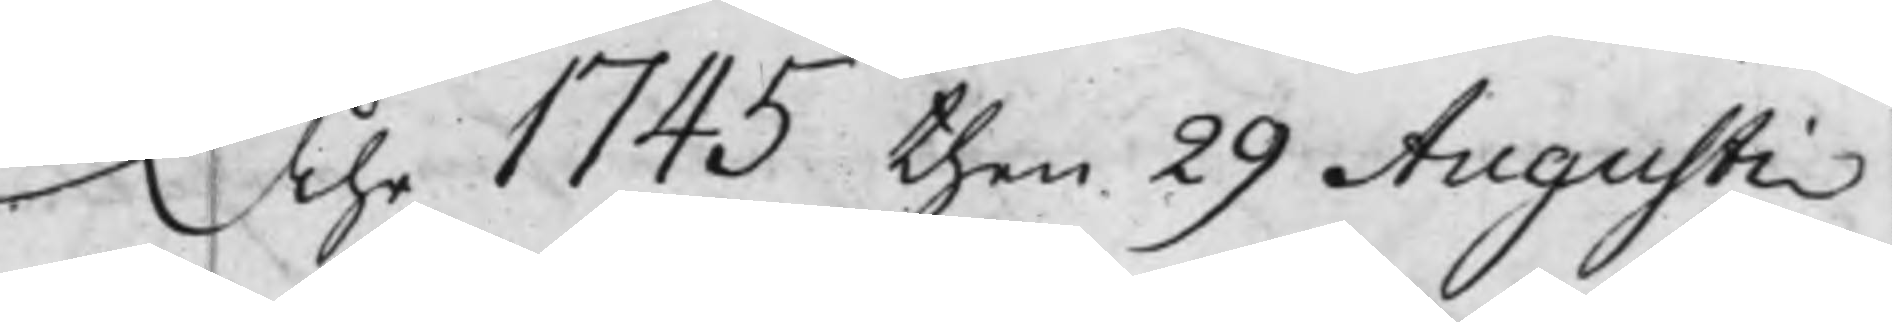Åhr 1745 then 29 Augusti
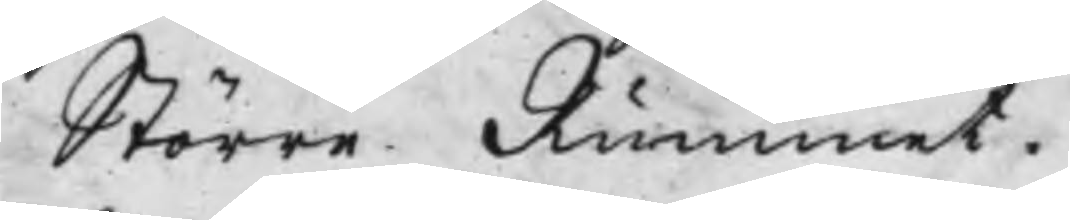Större Rummet.
